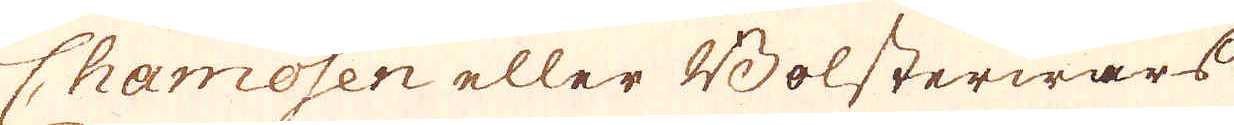Chamosen eller Bolsterwars
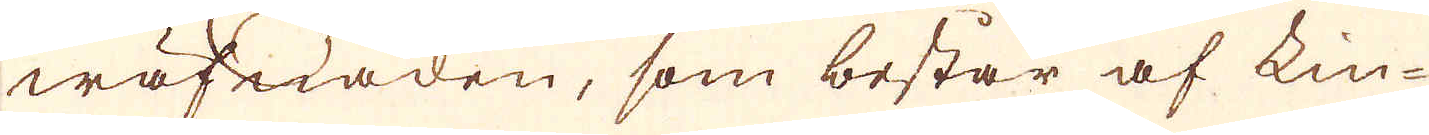wäfnaden, som består af Lin-
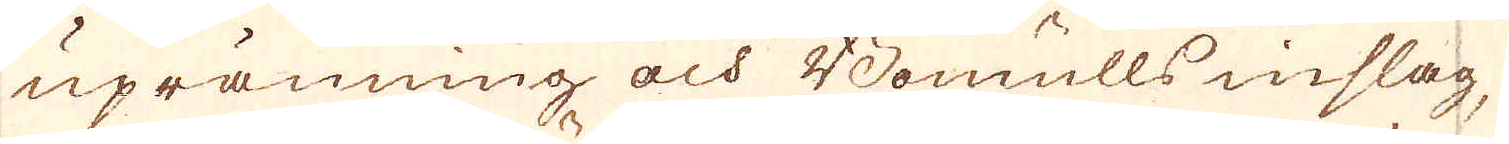upränning och Bomulls inslag,
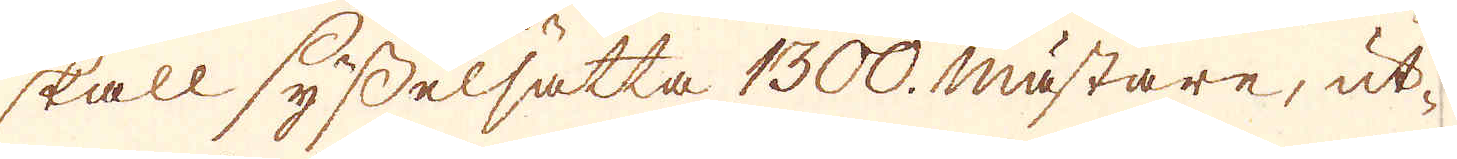skall sysselsätta 1300. mästare, ut-
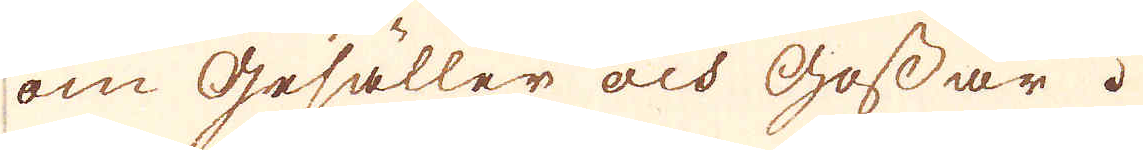om gesäller och gossar.
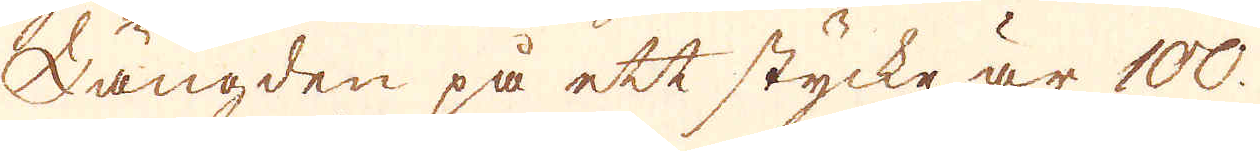Längden på ett stycke är 100.
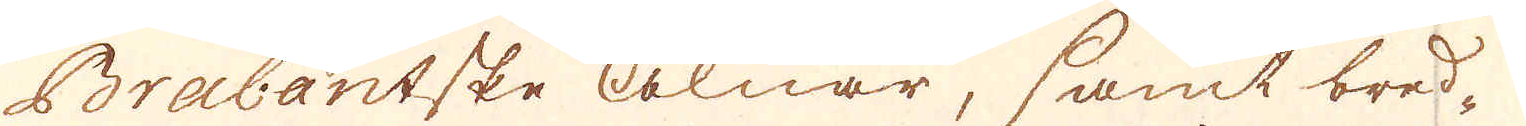Brabantske alnar, samt bred-
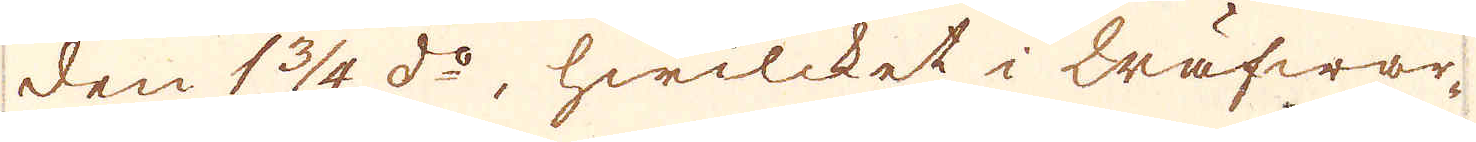den 1 3/4 d:o, hwilcket i Wäfwar-
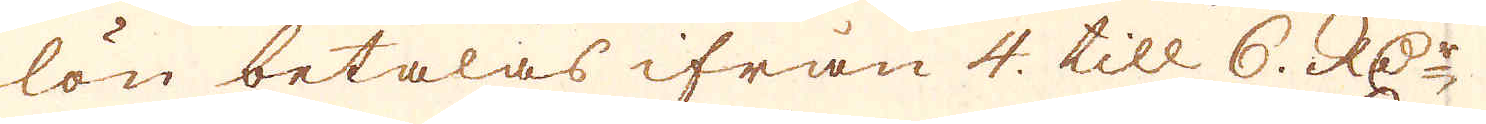lön betalas ifrån 4. till 6. RD:r
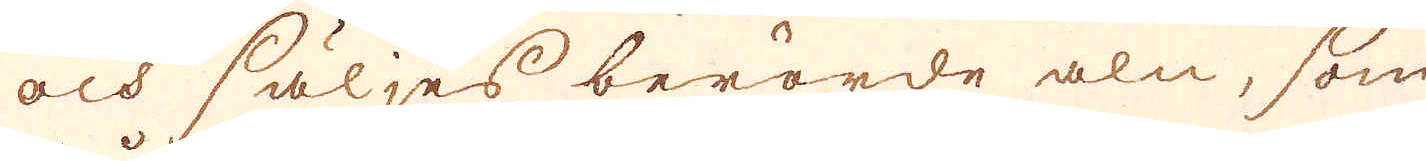och säljes berörde aln, som
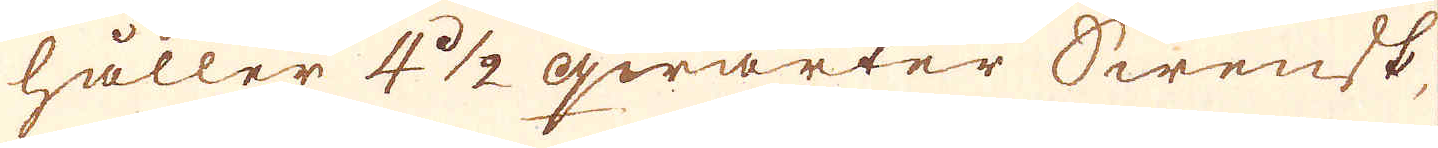håller 4 1/2 qwarter Swensk,
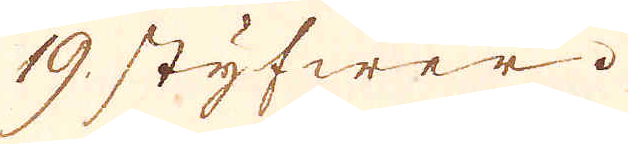19. styfwer.
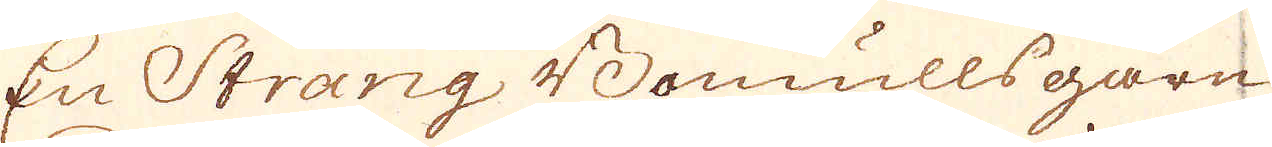En Strang Bomullsgarn
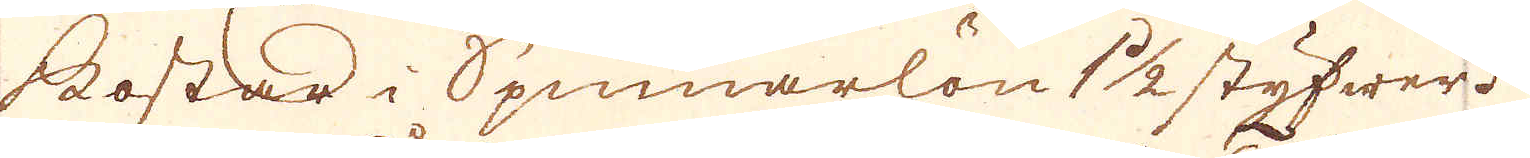kostar i Spinnarlön 1 1/2 styfwer.
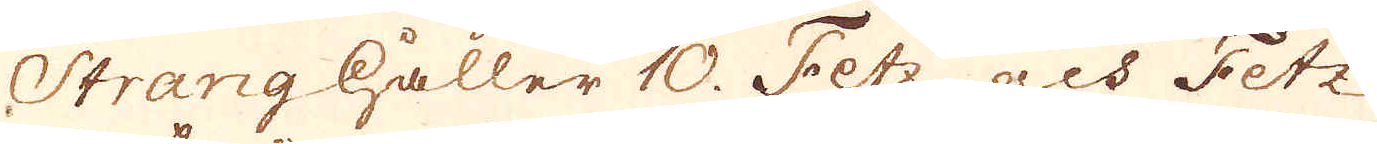Strang håller 10. Fetz, och Fetz
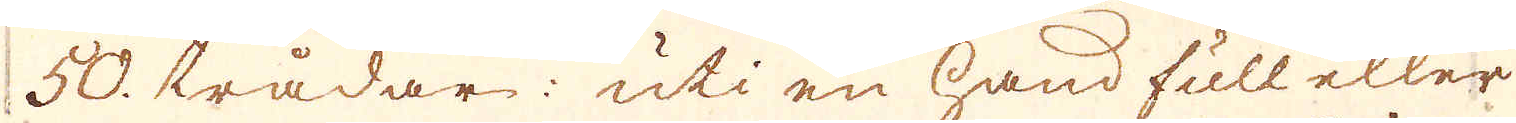50. trådar: uti en hand full eller
